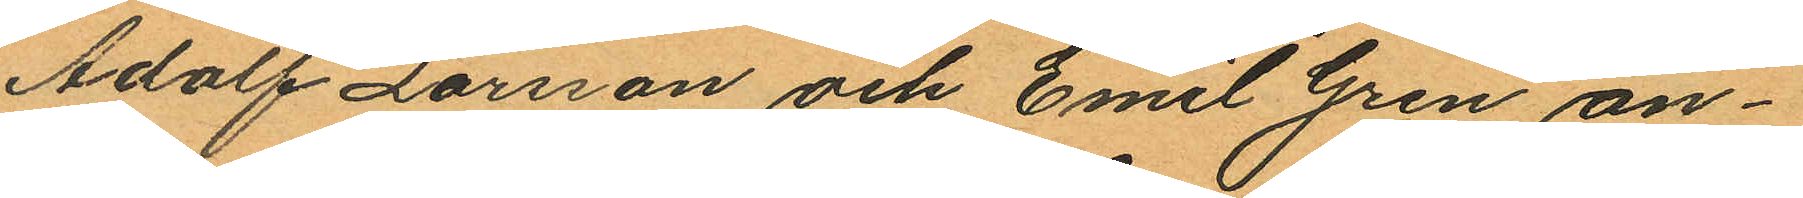Adolf Larsson och Emil Gren an¬
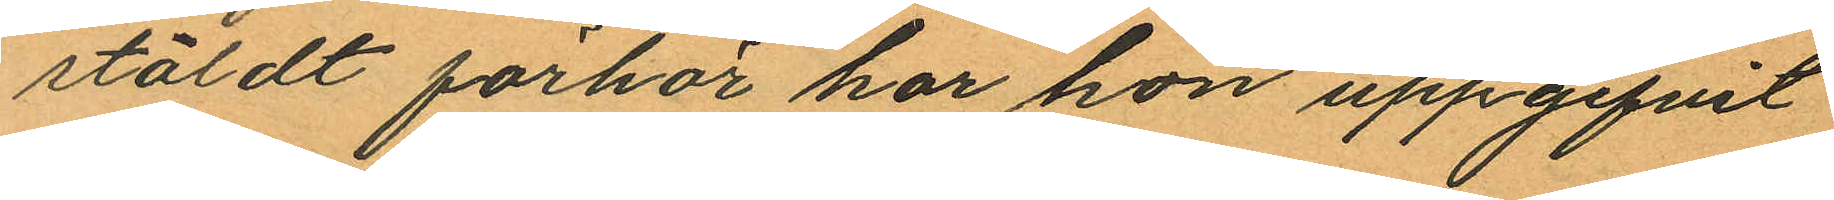stäldt förhör har hon uppgifvit
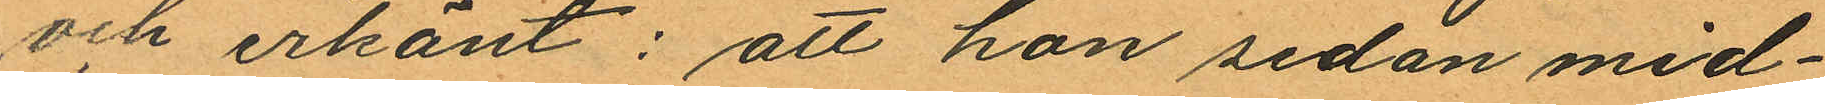och erkänt: att hon sedan mid¬
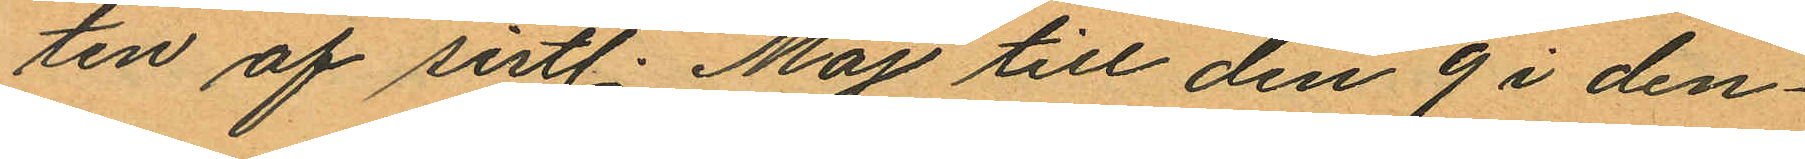ten af sistl. Maj till den 9 i den¬
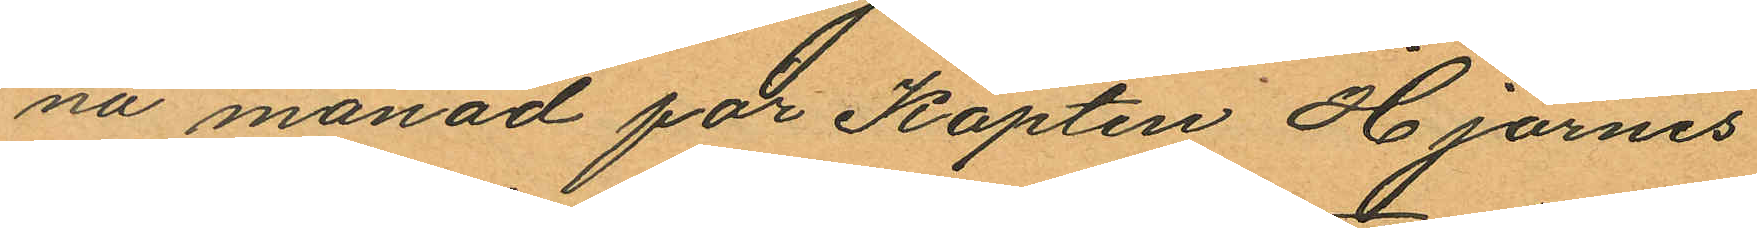na månad för Kapten Hjärnes
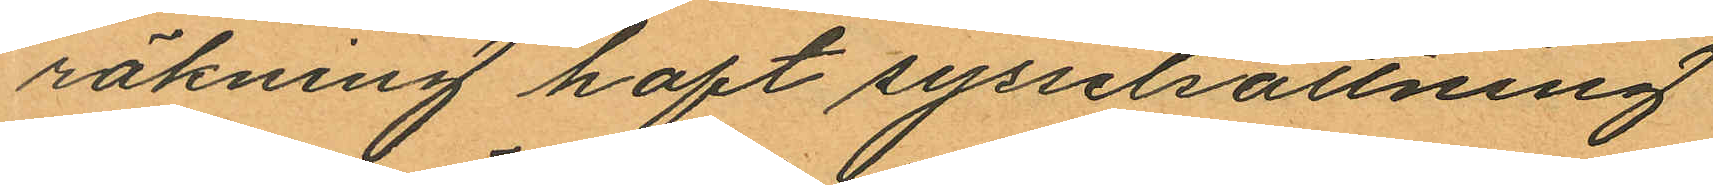räkning haft sysselsättning
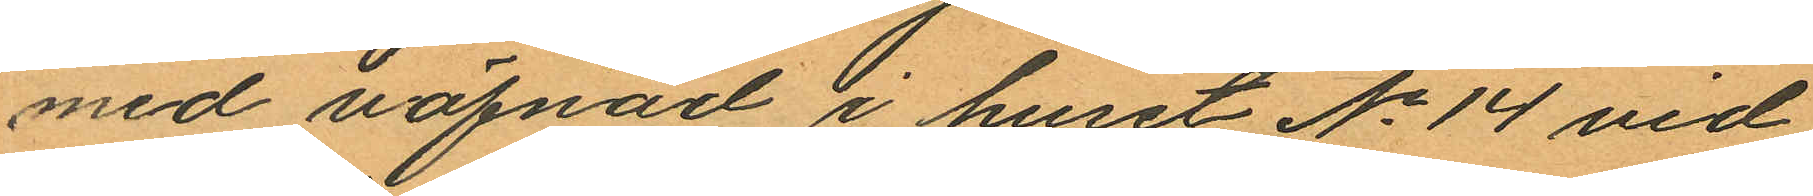med väfnad i huset No 14 vid
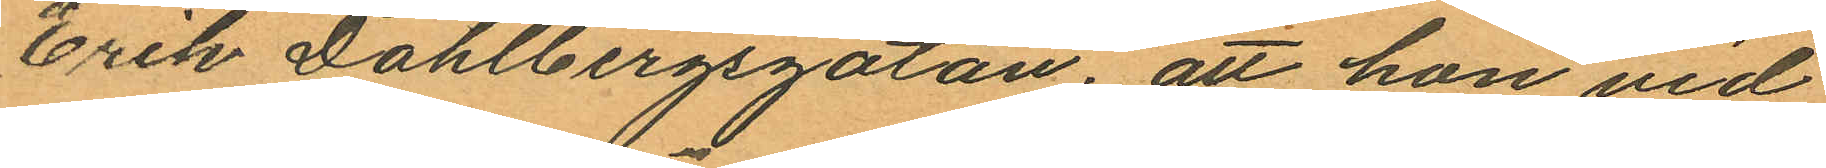Erik Dahlbergsgatan; att hon vid
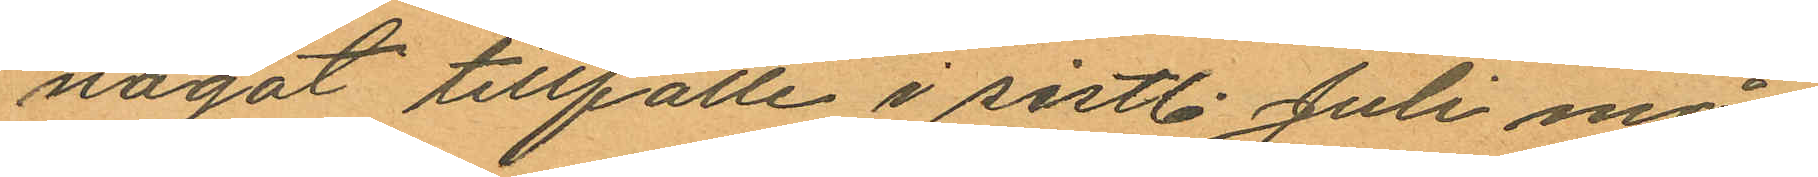något tillfälle i sistl. Juli må¬
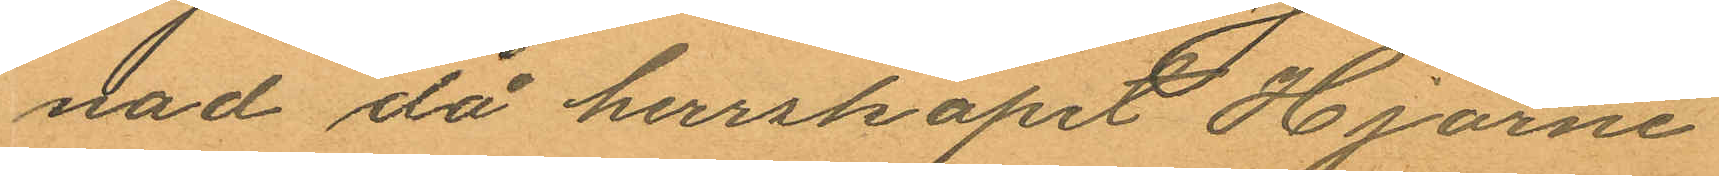nad då herrskapet Hjärne
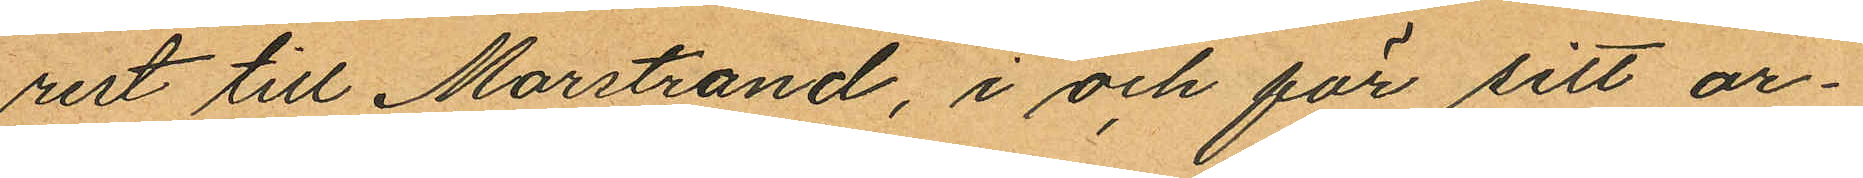rest till Marstrand, i och för sitt ar¬
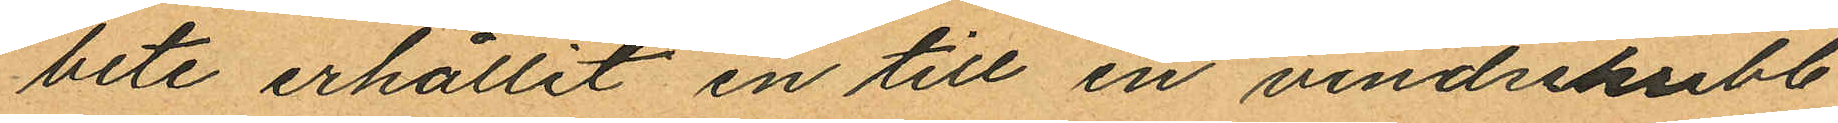bete erhållit en till en vindsskrubb
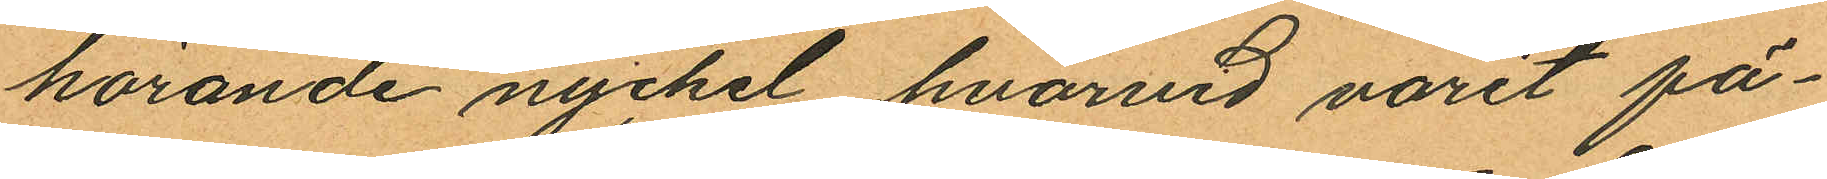hörande nyckel, hvarvid varit fä¬
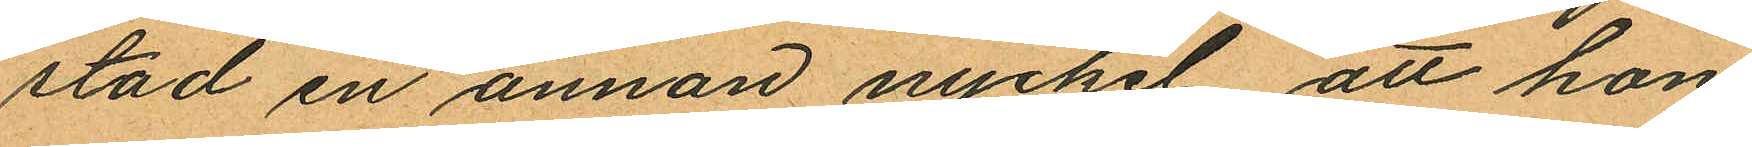stad en annan nyckel, att hon
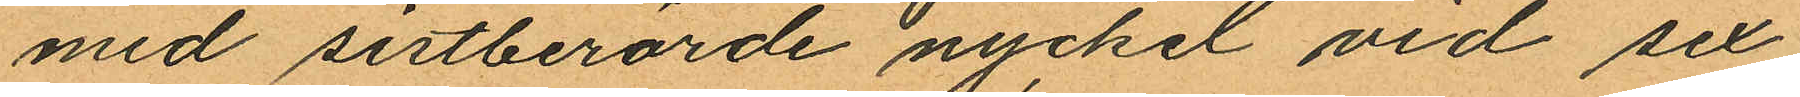med sistberörde nyckel vid sex
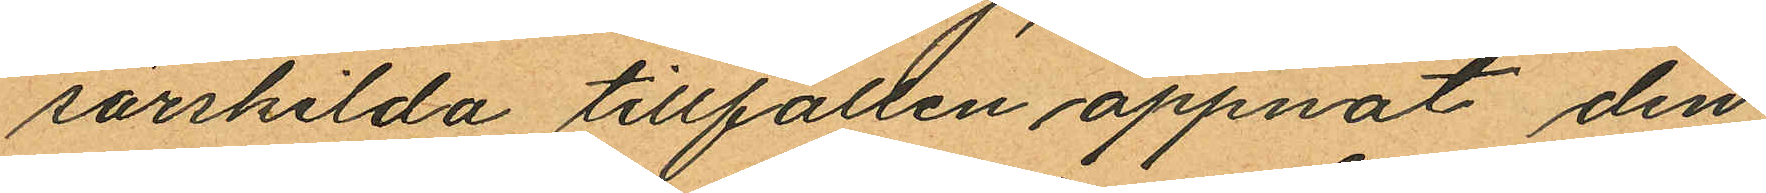särskilda tillfällen öppnat den
